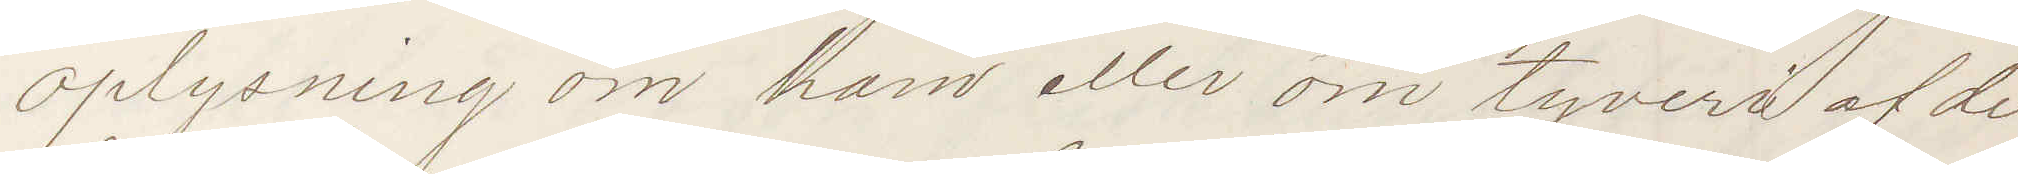oplysning om ham eller om tyveri af de
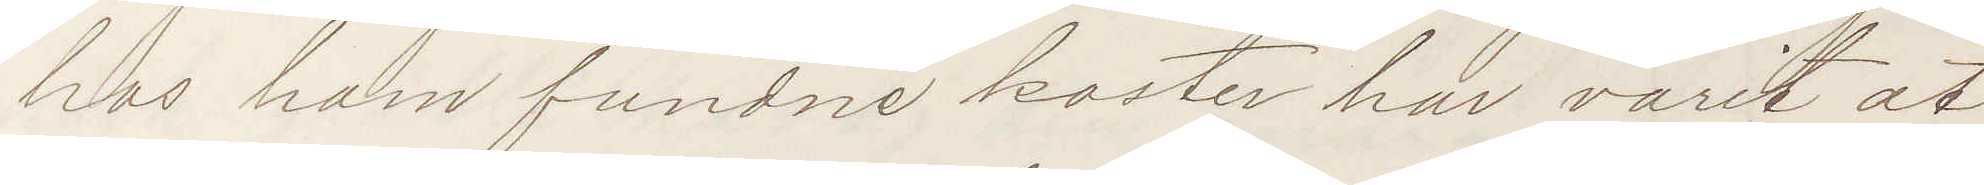hos ham fundne koster har varit at
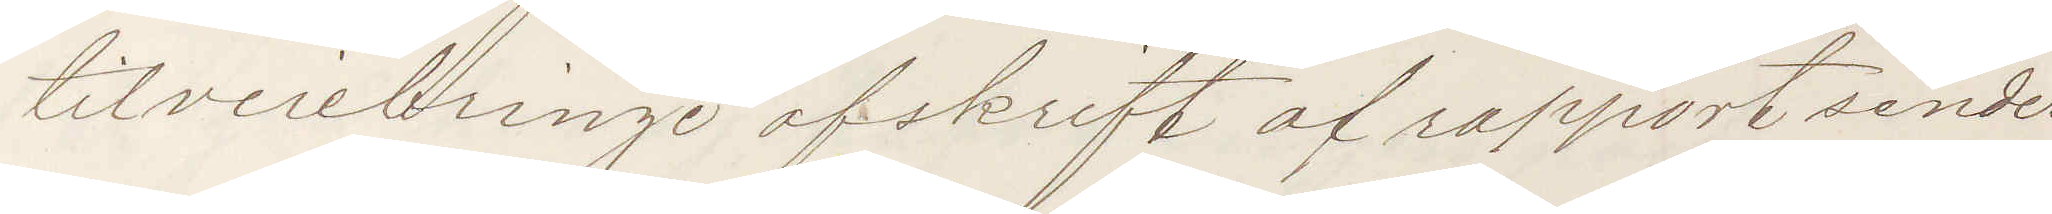tilverebringe afskrift af rapport sendes
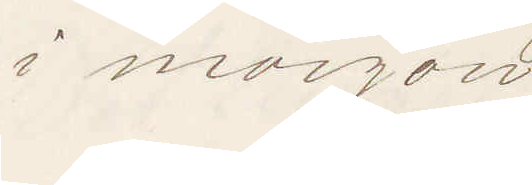i morgon.
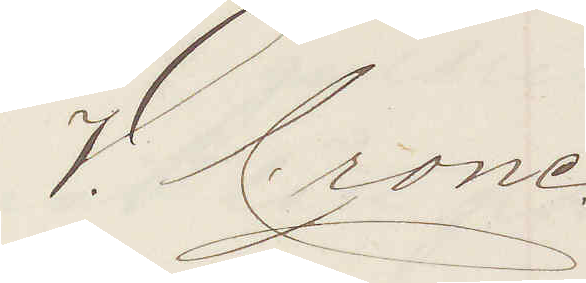V. Crone
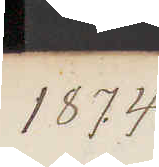1874
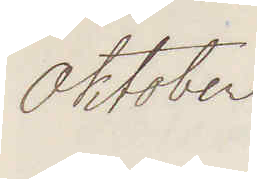Oktober
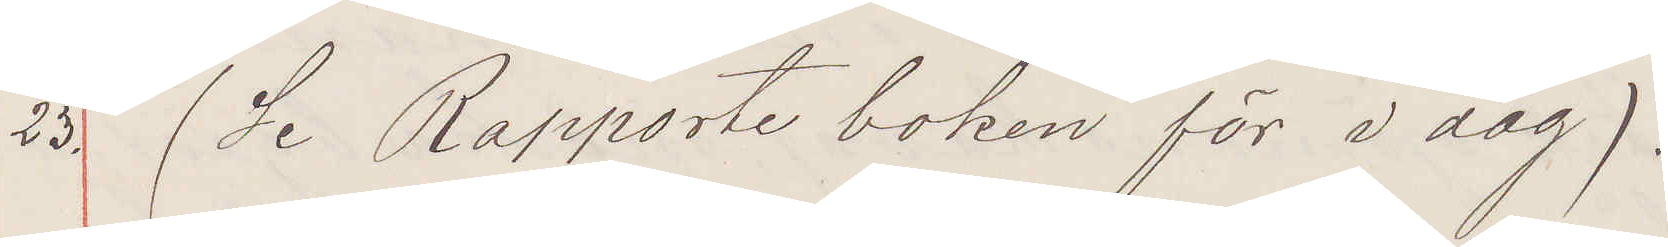23. (Se Rapporte boken för i dag)
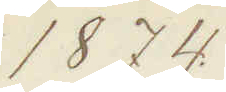1874
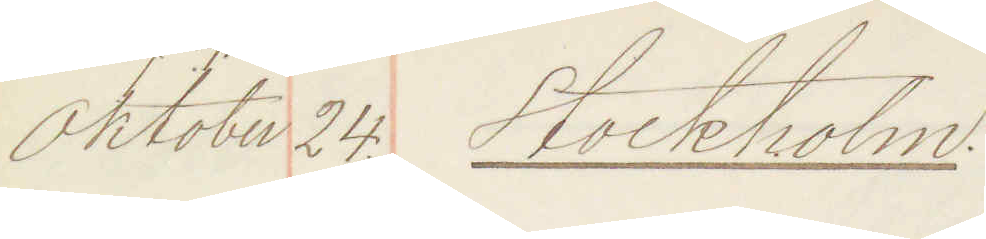Oktober 24. Stockholm.
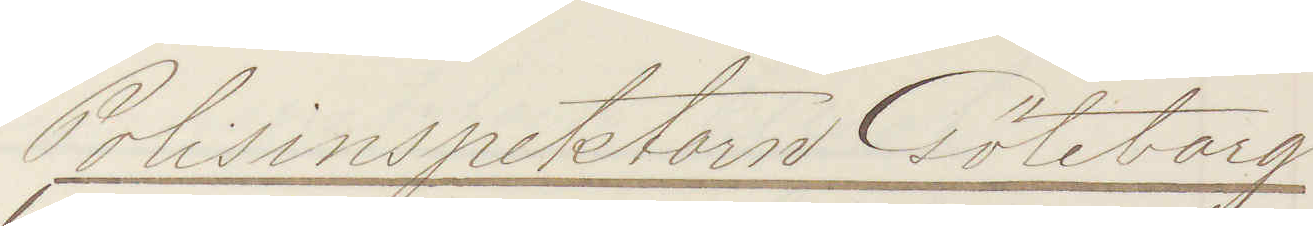Polisinspektorn Göteborg
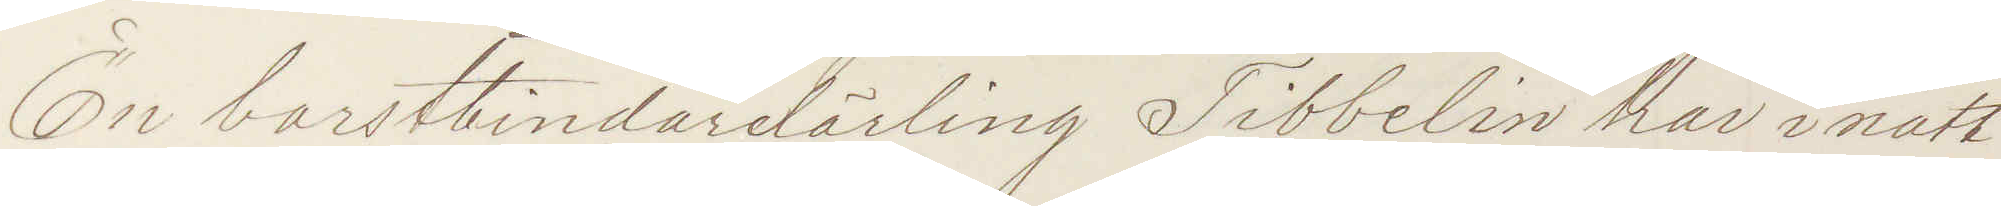En borstbindarlärling Tibbelin har inatt
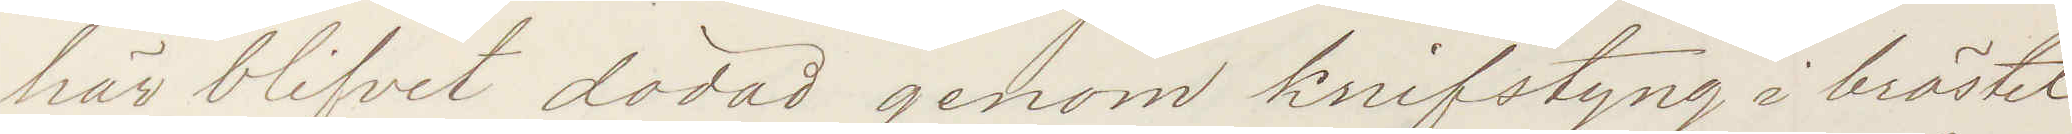här blifvit dödad genom knifstyng i bröstet
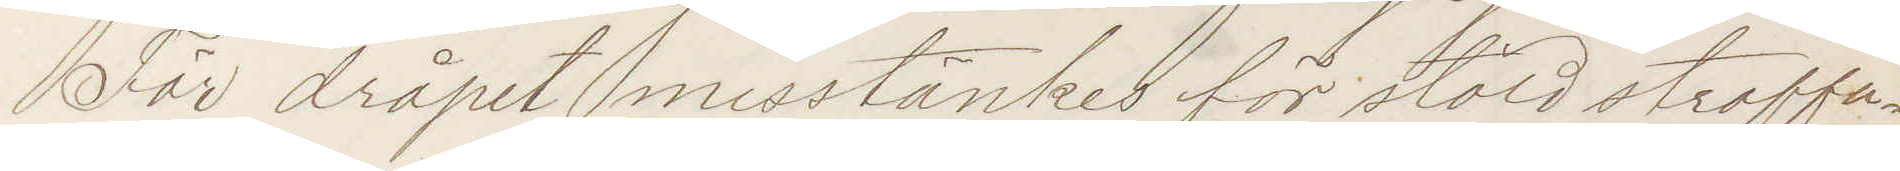För dråpet misstänkes för stöld straffa¬
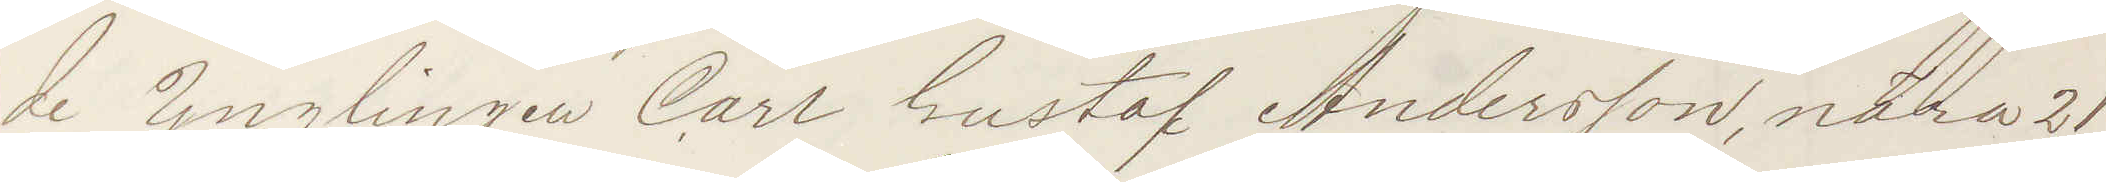de Ynglingen Carl Gustaf Andersson, nära 21
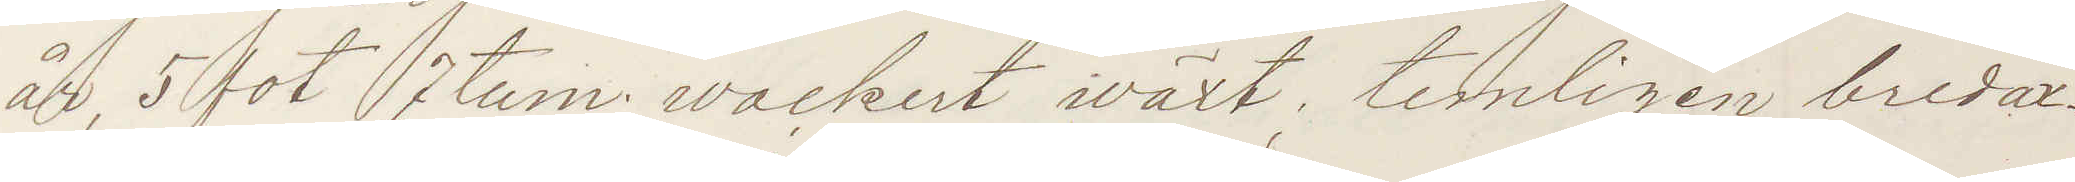år, 5 fot 7 tum; wackert iväxt, temligen bredax¬
